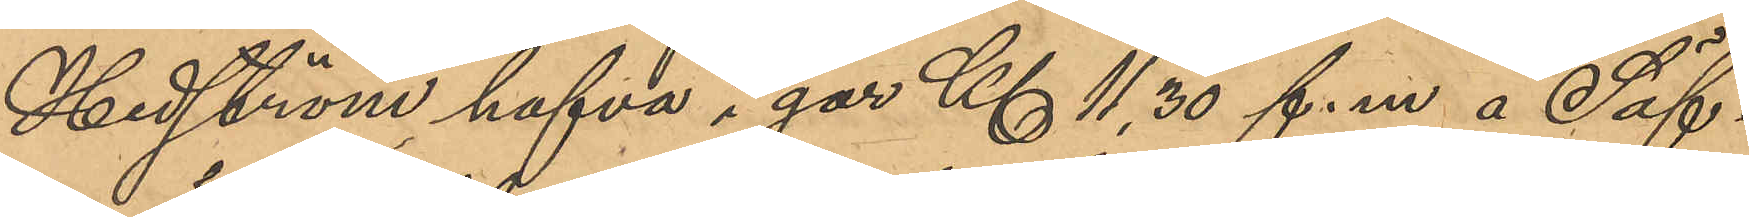Hedström hafva i går Kl 11,30 f. m. å Säf¬
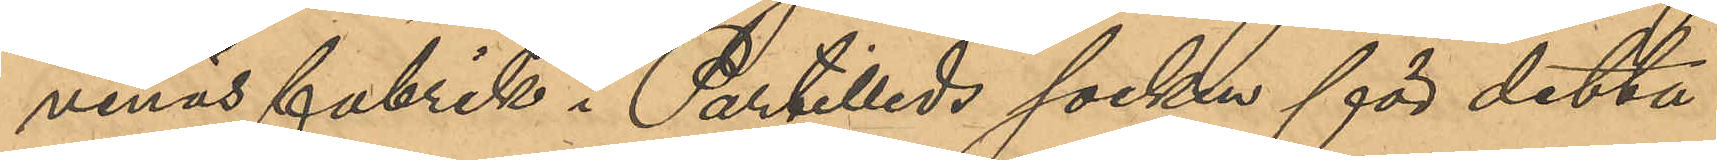venäs fabrik i Partilleds socken för detta
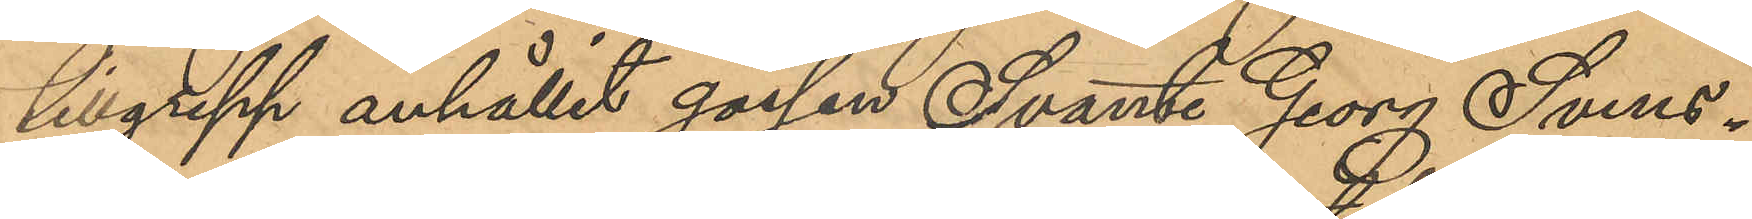tillgrepp anhållit gossen Svante Georg Svens¬
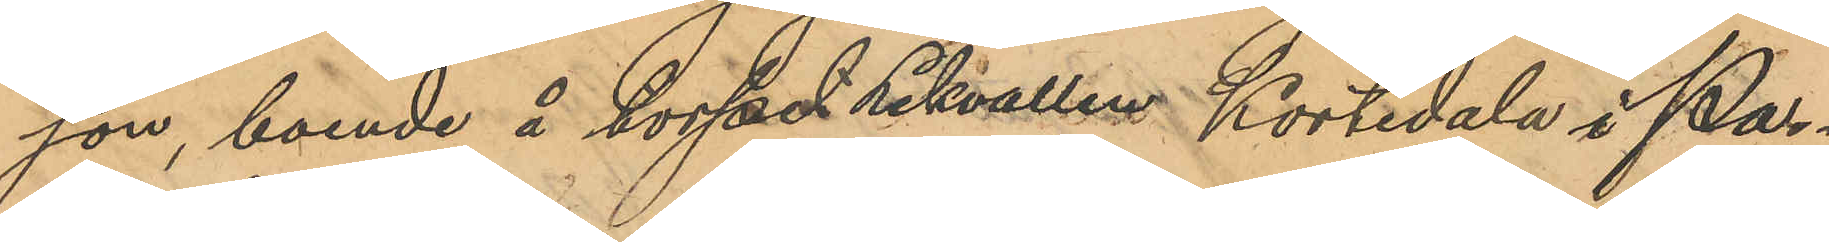son, boende i torpet Lekvallen Kortedala i Par¬
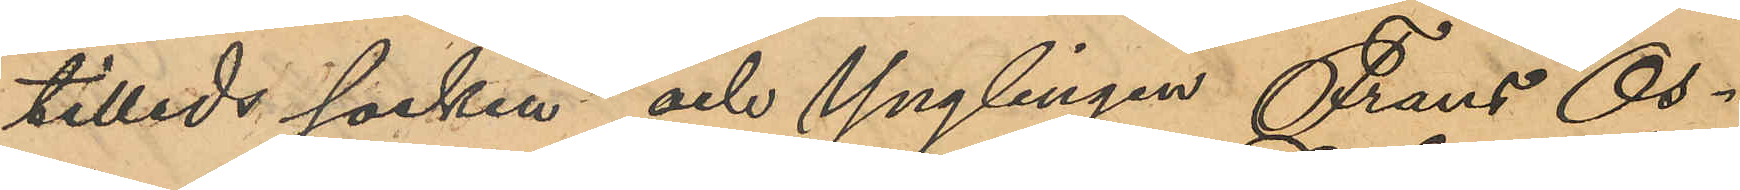tilleds socken och Ynglingen Frans Os¬
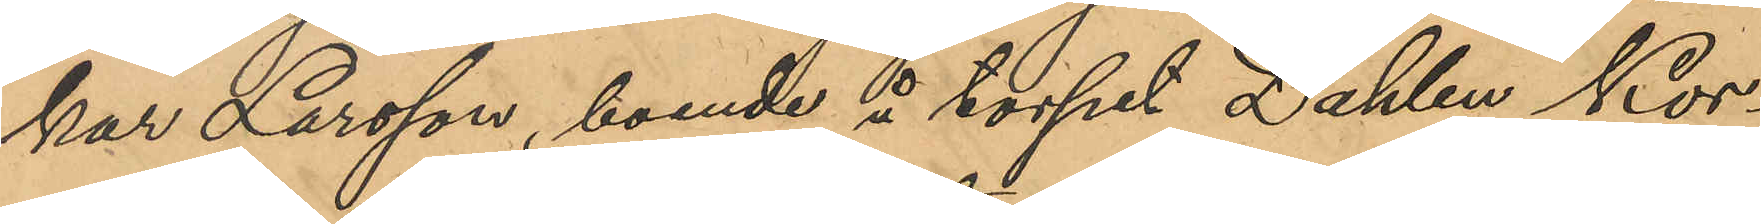kar Larsson, boende i torpet Dahlen Kor¬
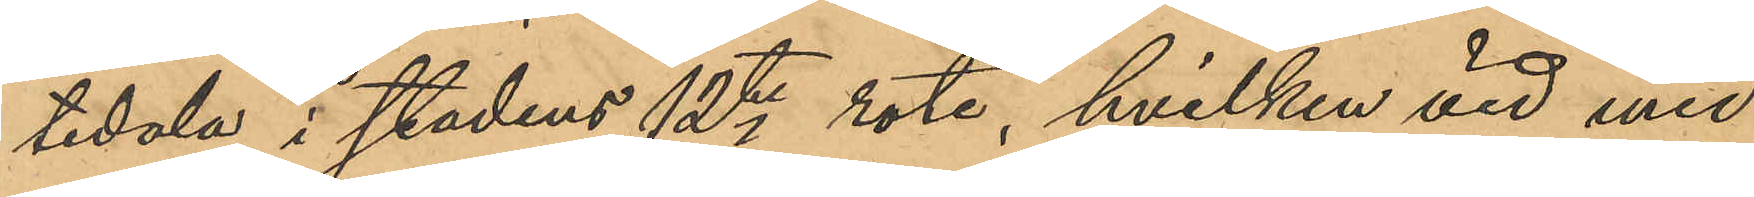tedala i stadens 12te rote, hvilken vid med
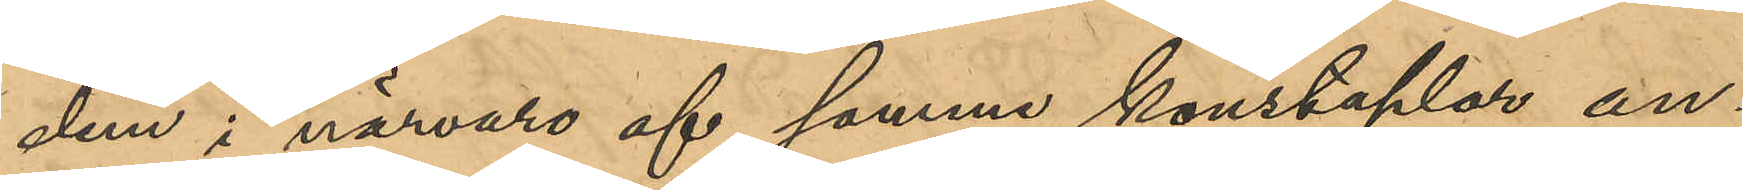dem i närvaro af samme konstaplar an¬
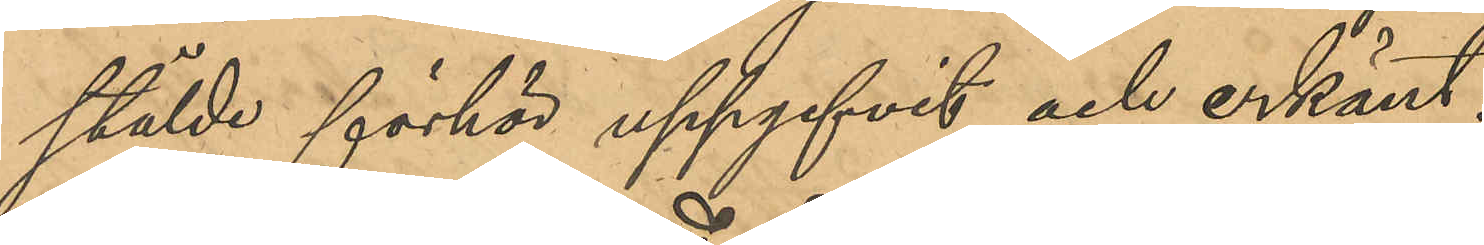stälde förhör uppgifvit och erkänt:
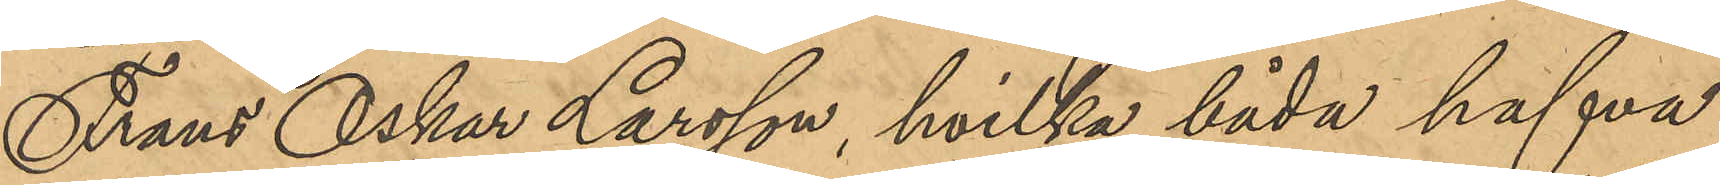Frans Oskar Larsson, hvilka båda hafva
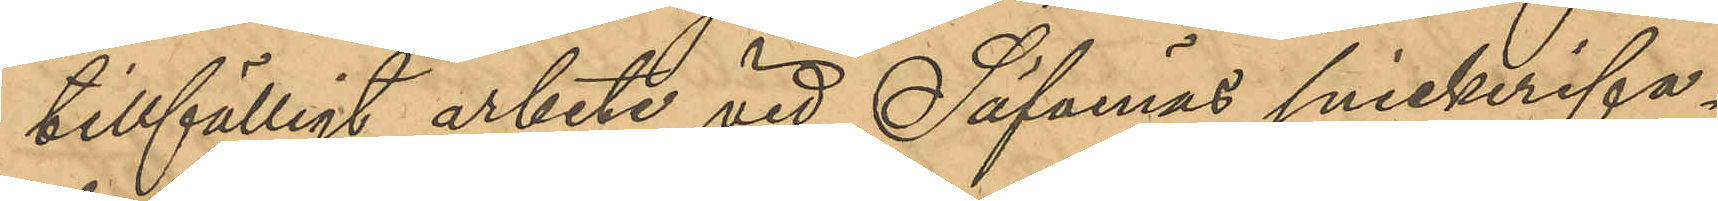tillfälligt arbete vid Säfvenäs snickerifa¬
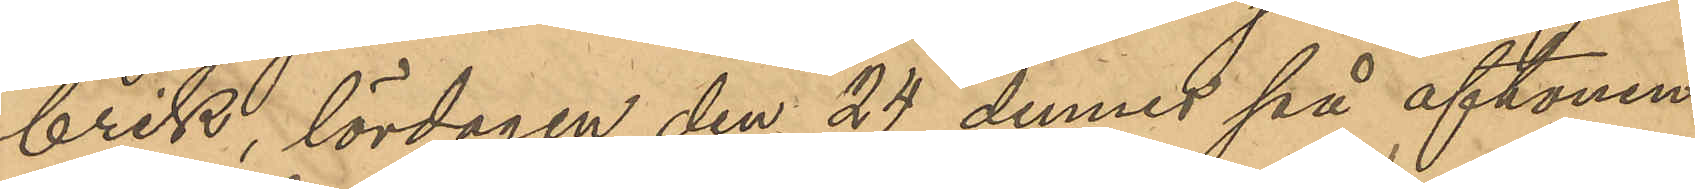brik, lördagen den 24 dennes på aftonen
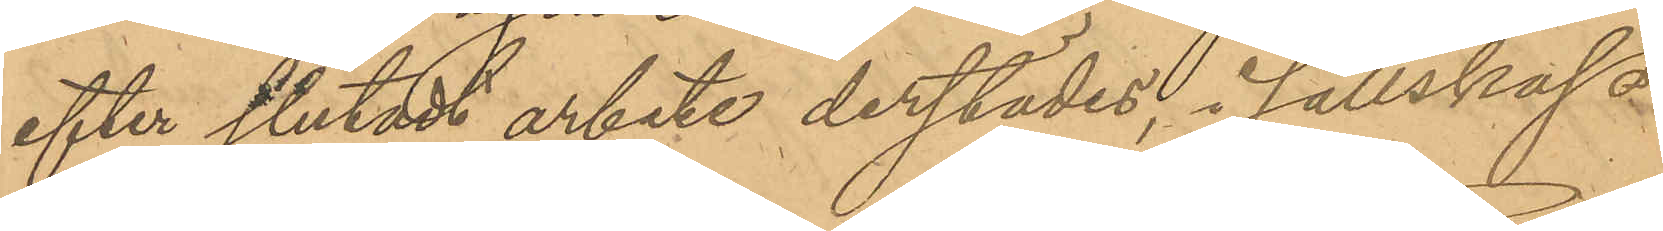efter slutadt arbete derstädes, i sällskap
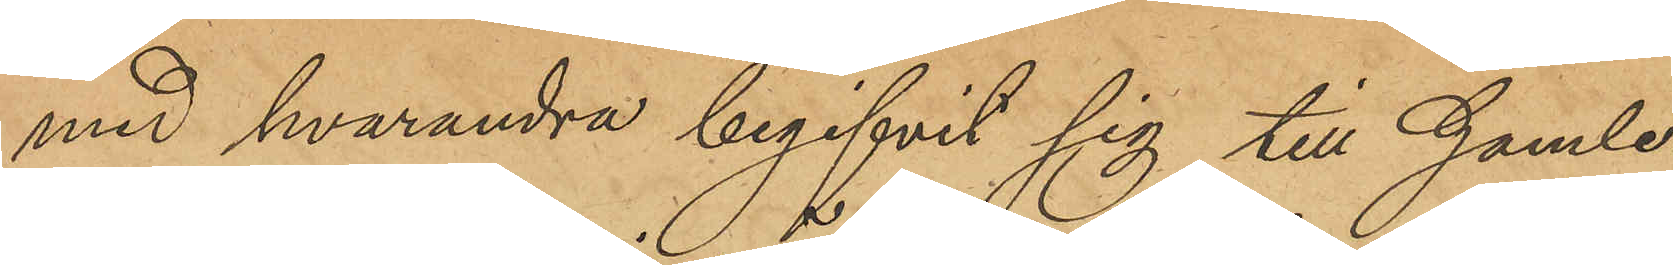med hvarandra begifvit sig till Gamle¬
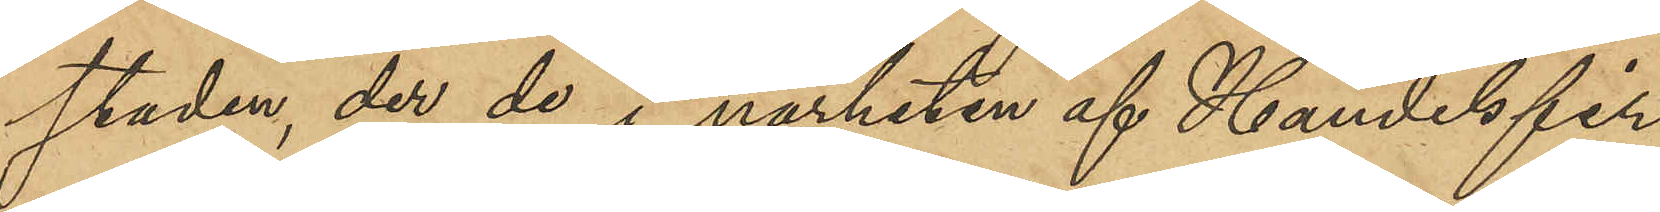staden, der de i närheten af Handelsfir¬
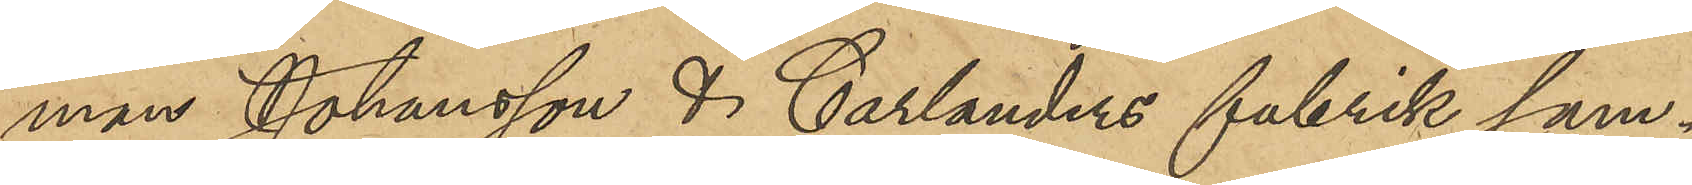man Johansson & Carlanders fabrik sam¬
